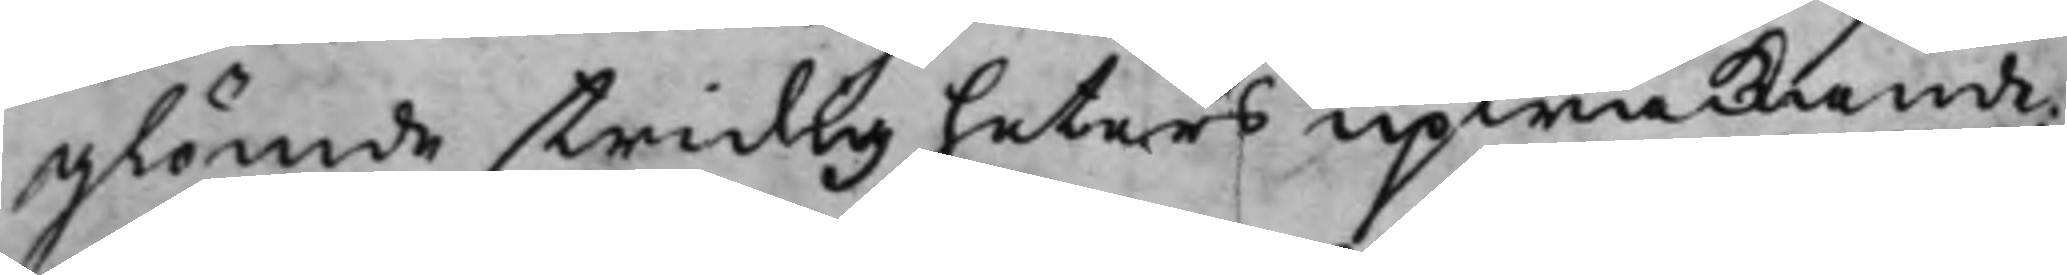glömde stridigheters upwäckande,
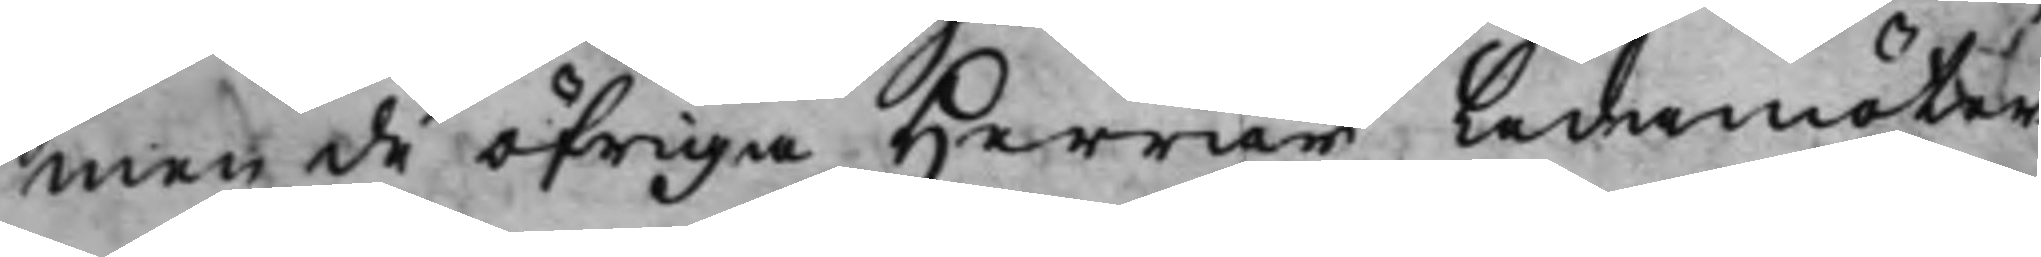men de öfriga Herrar Ledamöter¬
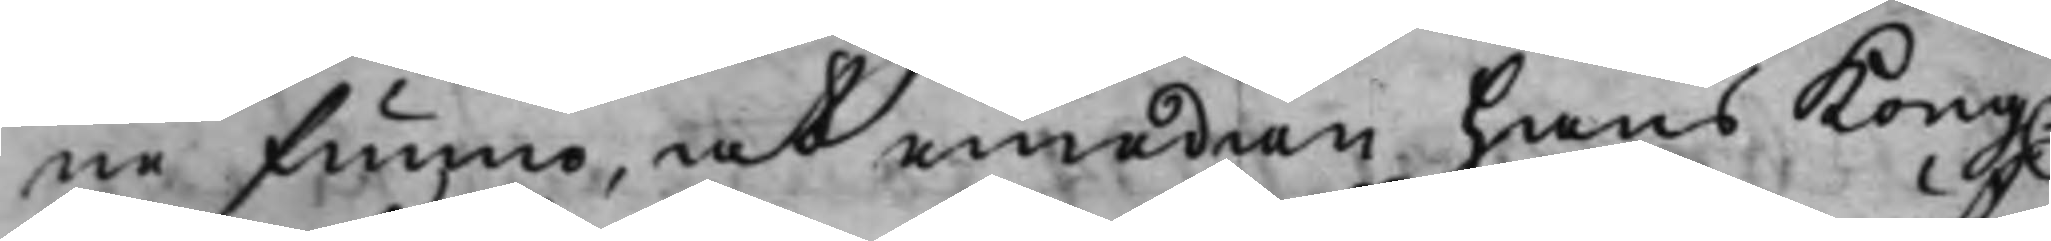ne funno, at emedan hans Kong.
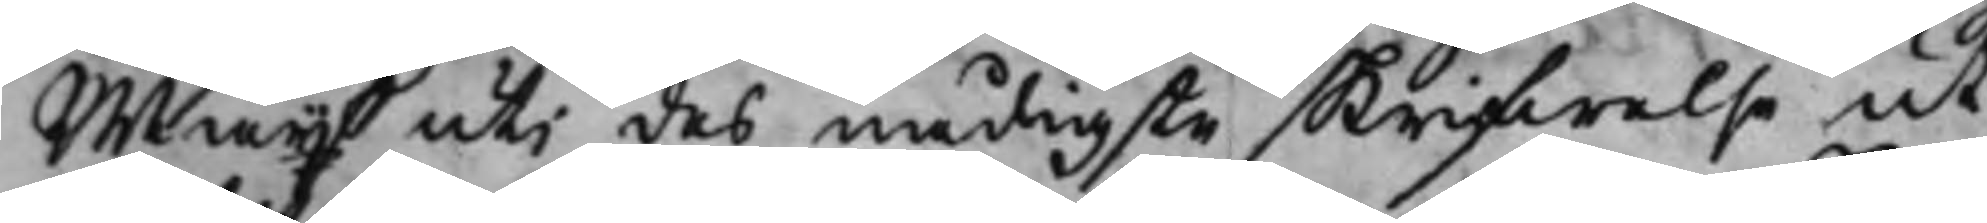Maijt uti des nådigste skrifwelse ut¬
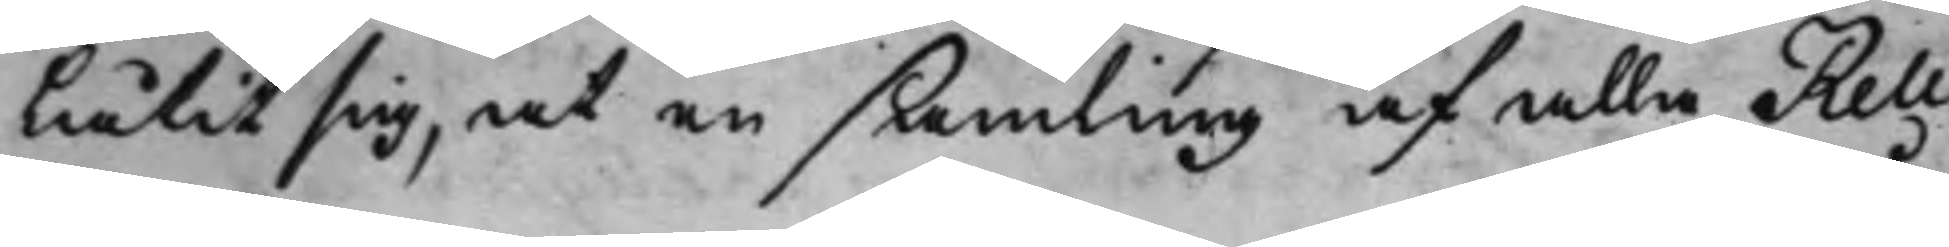låtit sig, at en samling af alla Reli¬
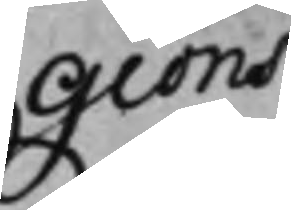gions
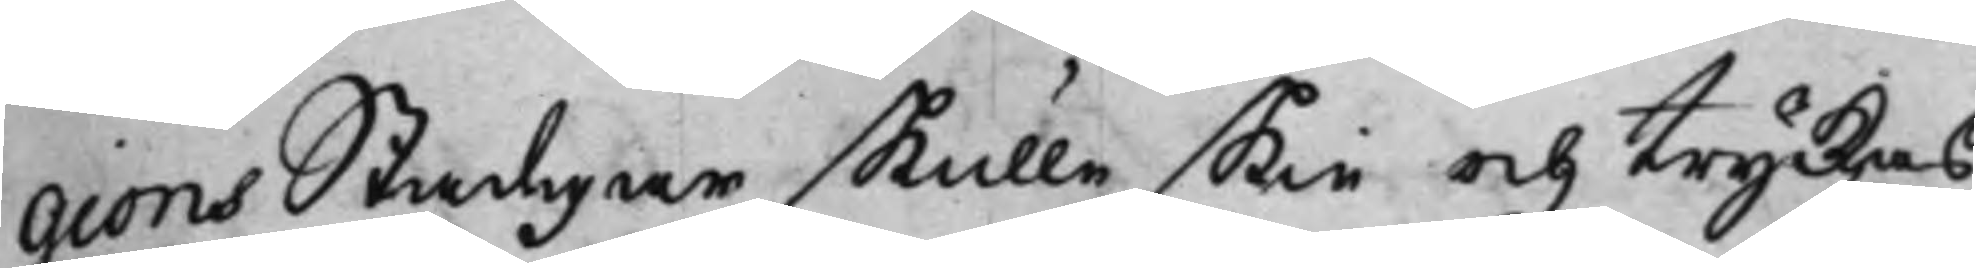gions Stadgar skulle skie och tryckas,
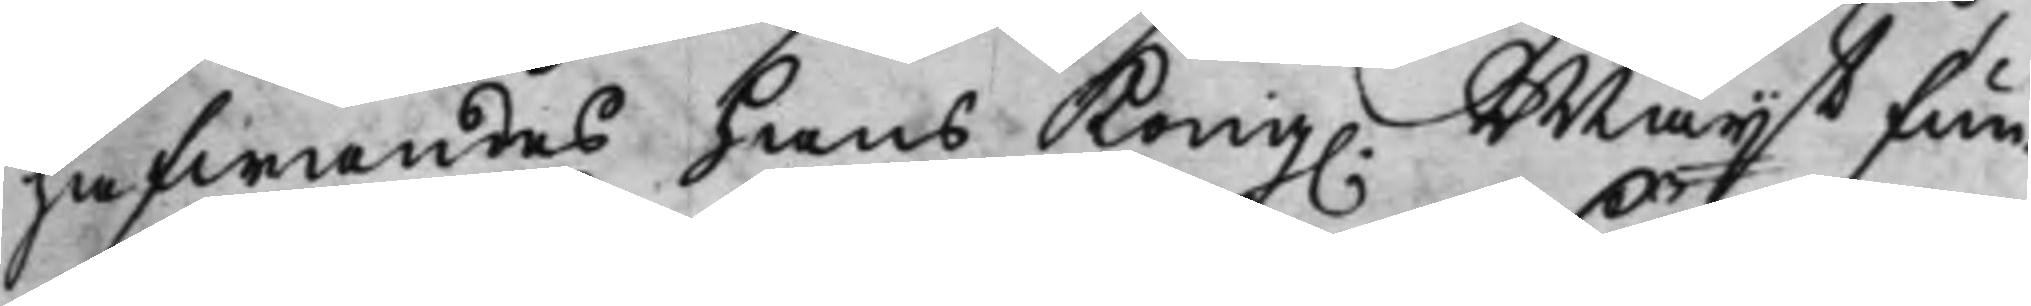hafwandes hans Kong. Maijt fun¬
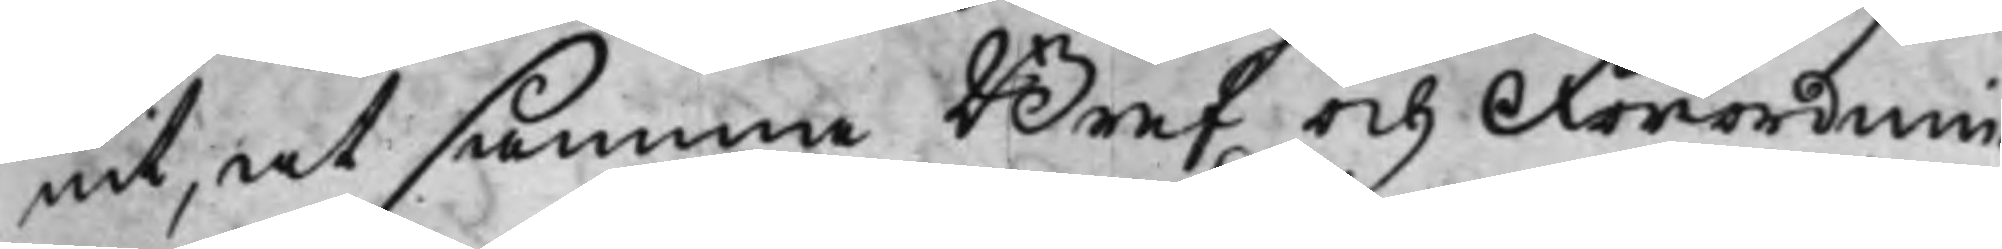nit, at samma Bref och Förordnin¬
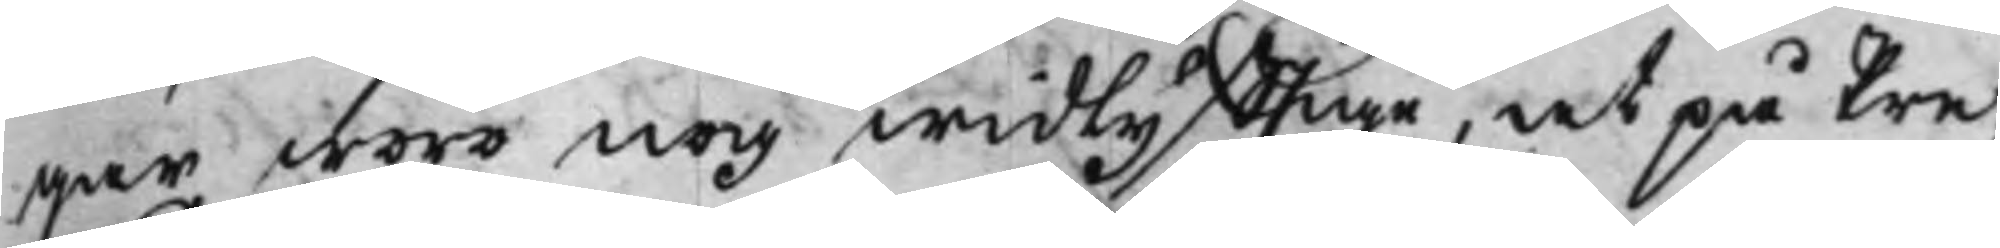gar woro nog widlyfftige, at på Pre¬
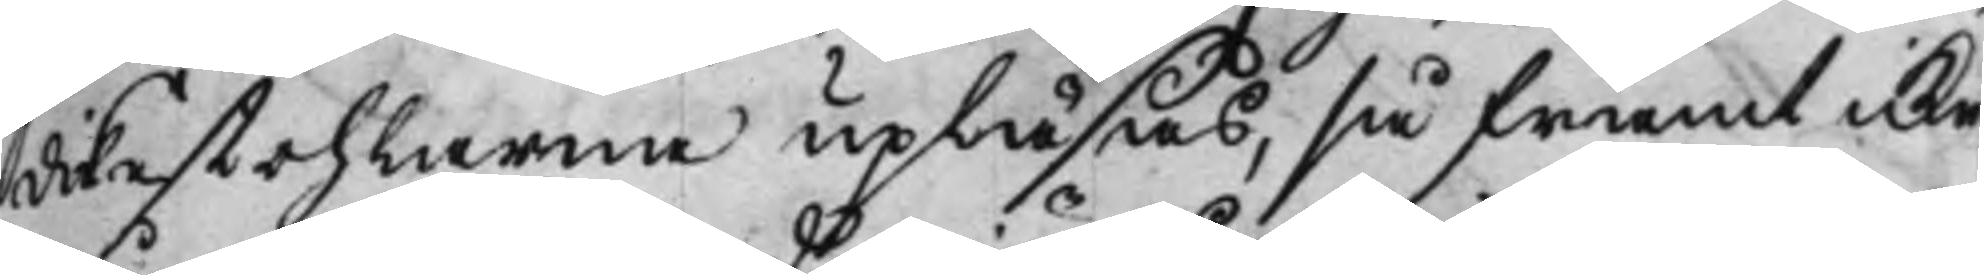dikestohlerna upläsas, så framt icke
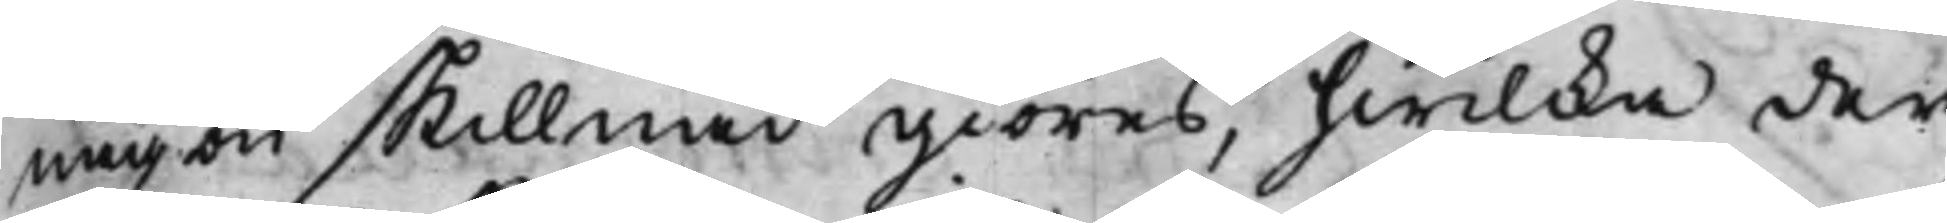någon skillnad giöras, hwilcka der¬
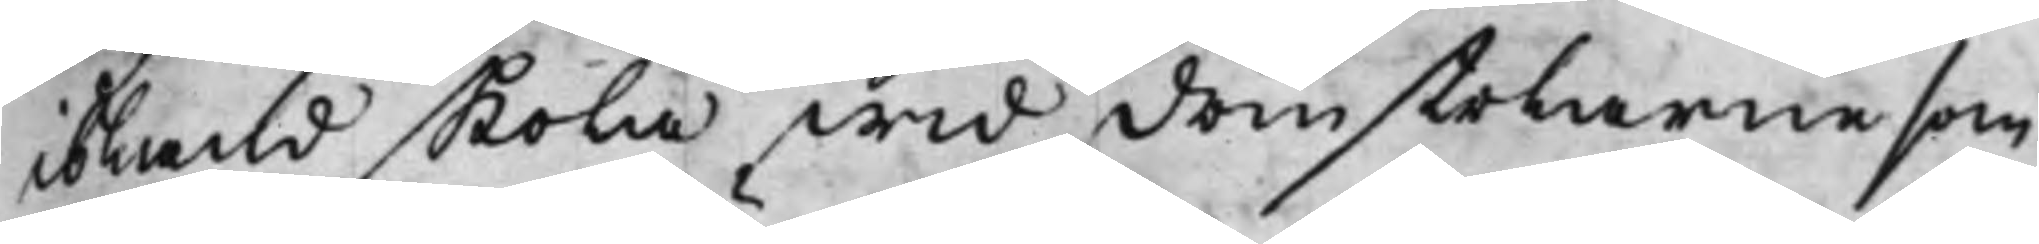ibland skola wid domstolarne som
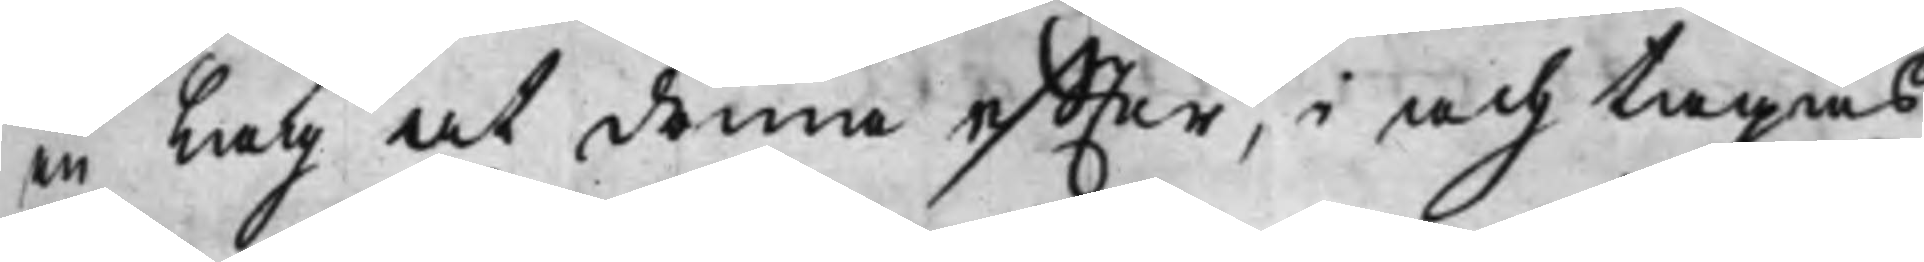en Lag at döma effter, i ach tagas,
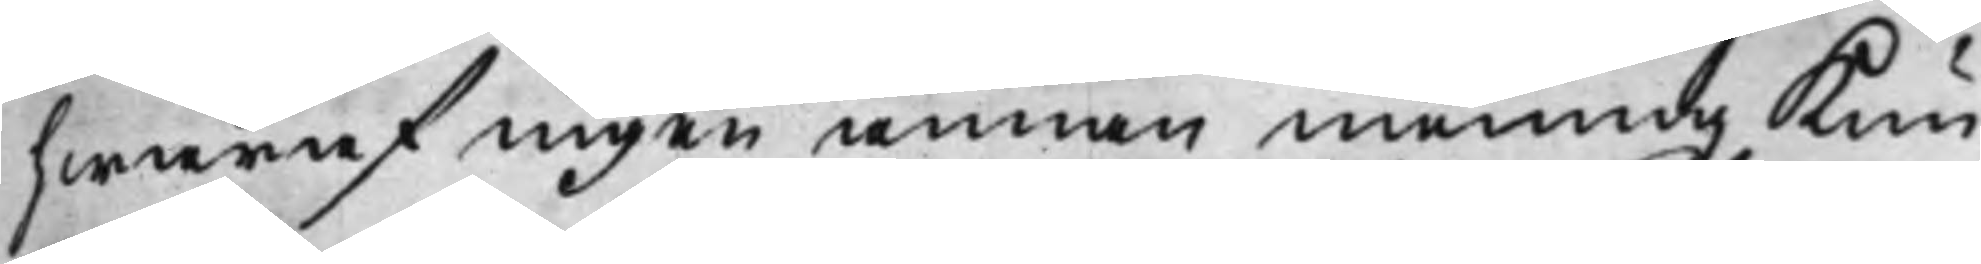hwaraf ingen annan mening kun¬
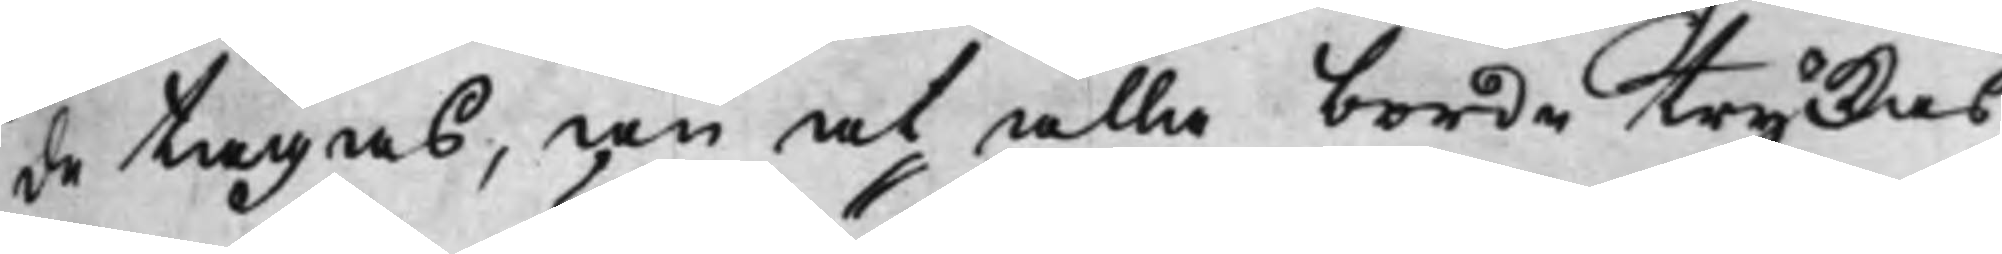de tagas, än at alla borde tryckas,
